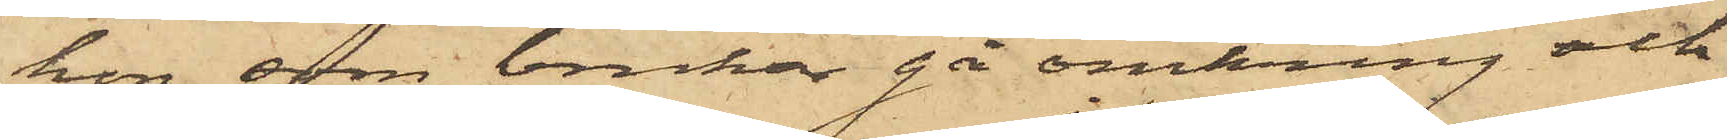hon, som brukar gå omkring och
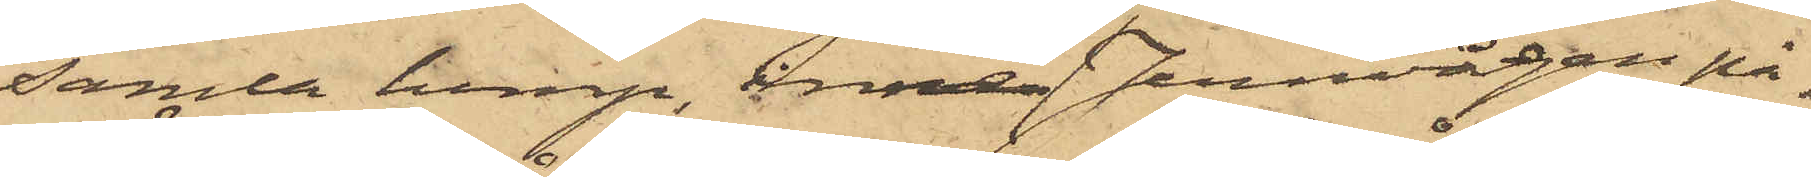samla lump, inne i Jernvågen på¬
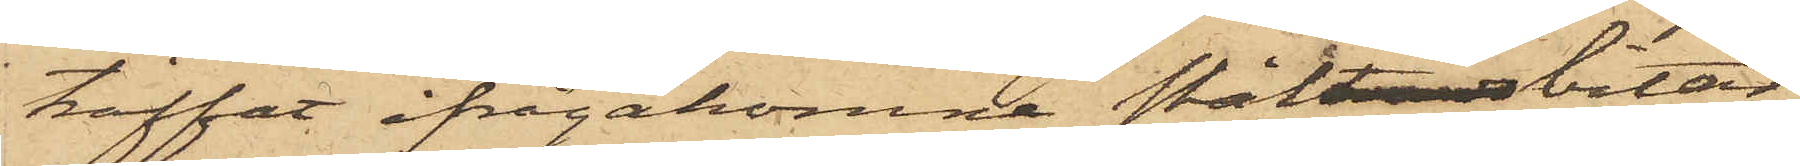träffat ifrågakomne ståltrådsbitar,
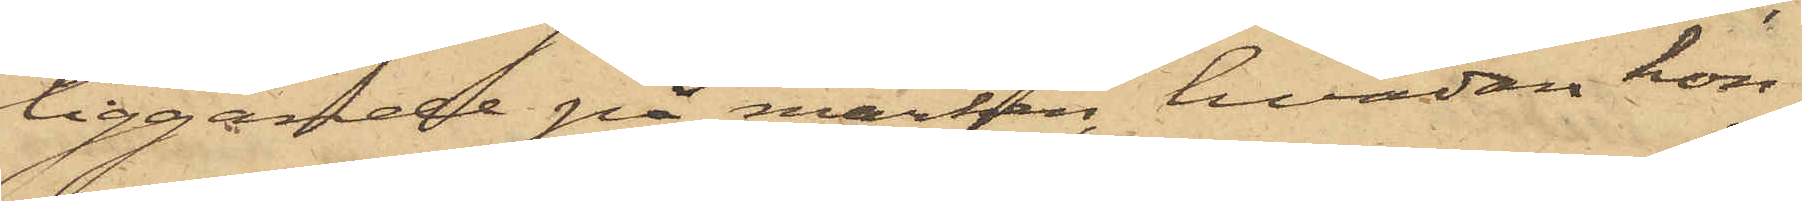liggande på marken, hvadan hon
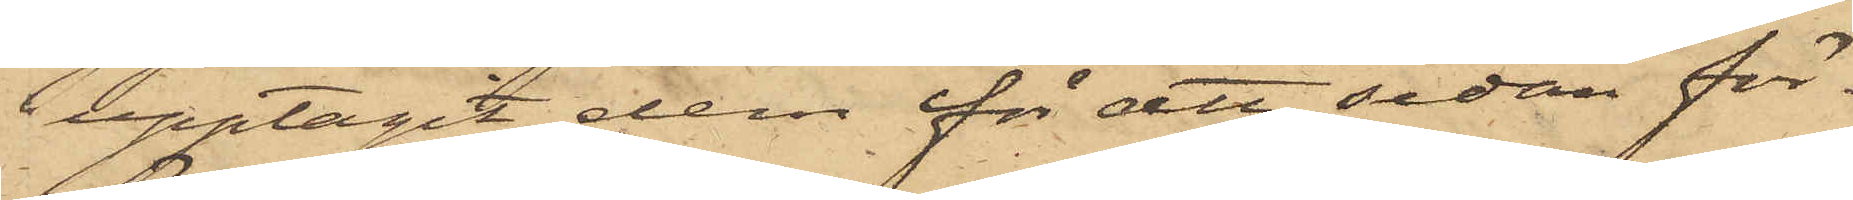upptagit dem för att sedan för¬
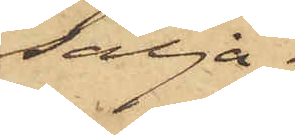sälja.
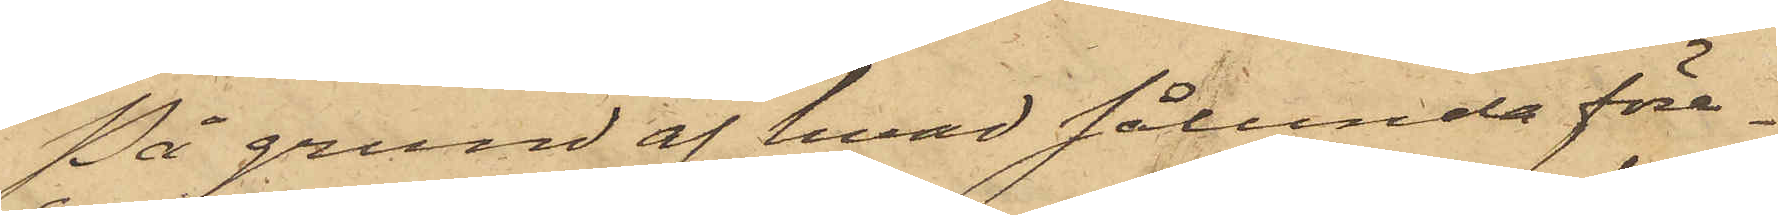På grund af hvad sålunda före¬
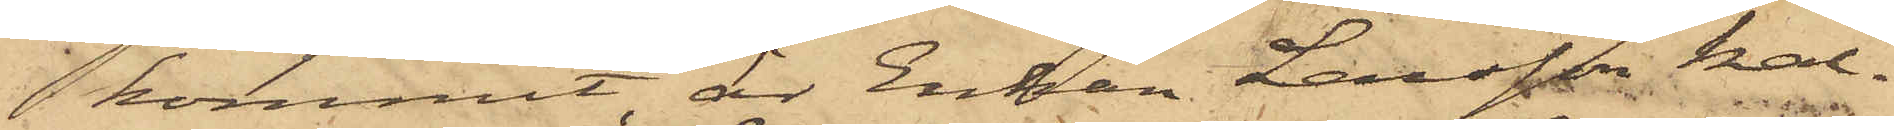kommit, är Enkan Larsson kal¬
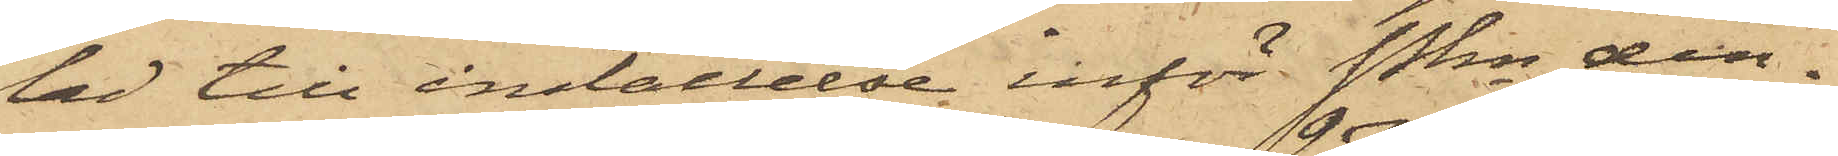lad till inställelse inför Pkn den¬
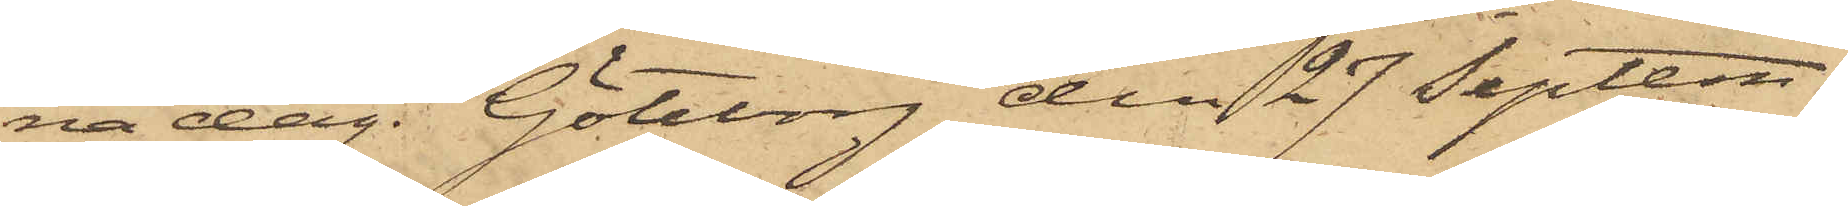na dag. Göteborg den 27 Septem¬
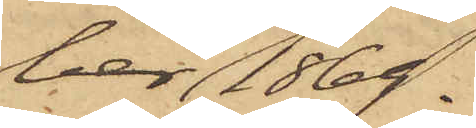ber 1869.
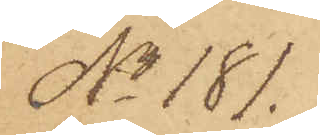No 181.
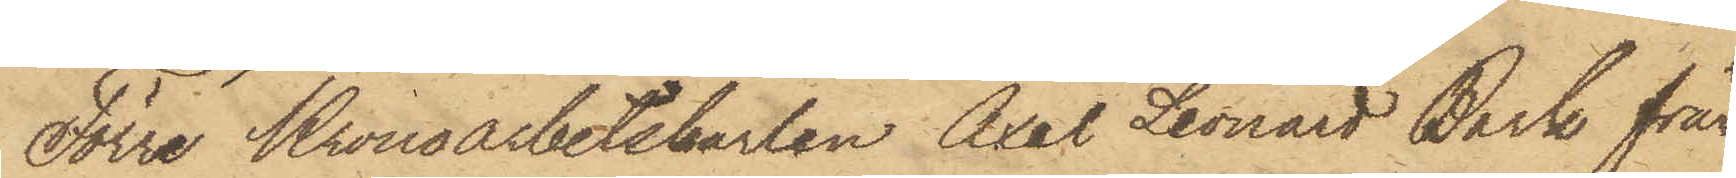Förre Kronoarbetskarlen Axel Leonard Bark från
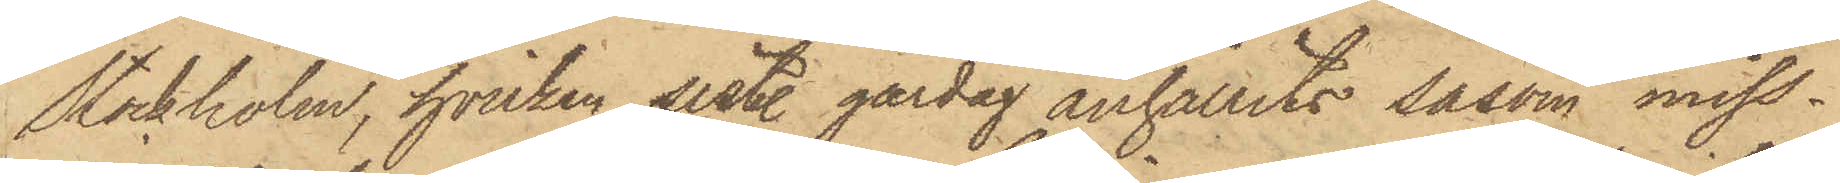Stockholm, hvilken sistl. gårdag anhållits såsom miss¬
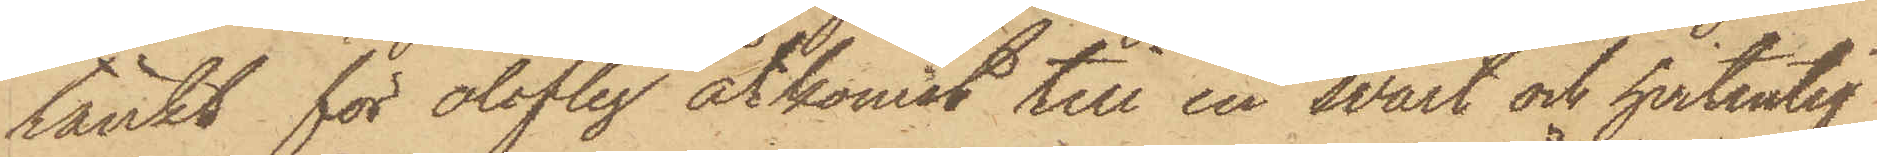tänkt för oloflig åtkomst till en svart och hvitrutig
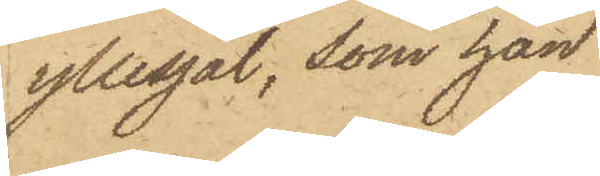yllesjal, som han
